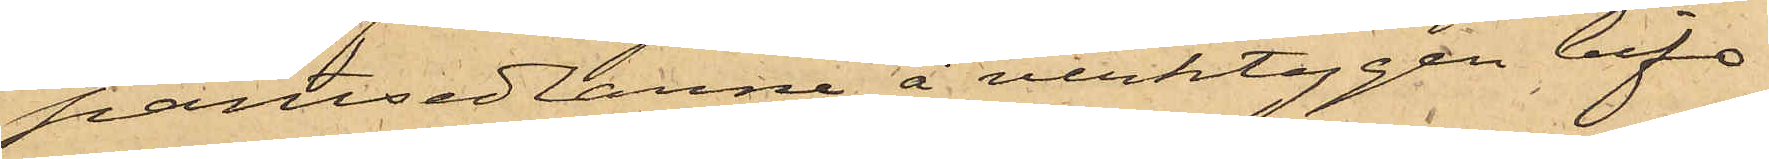pantsedlarne å verktygen bifo¬
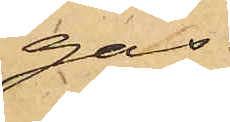gas.
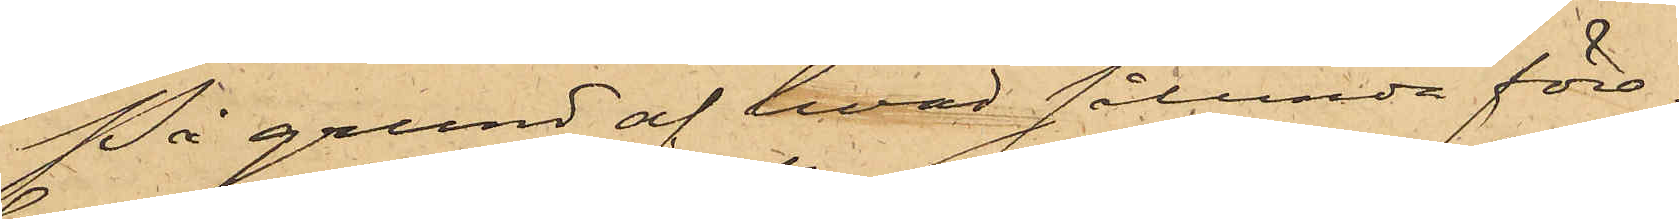På grund af hvad sålunda före¬
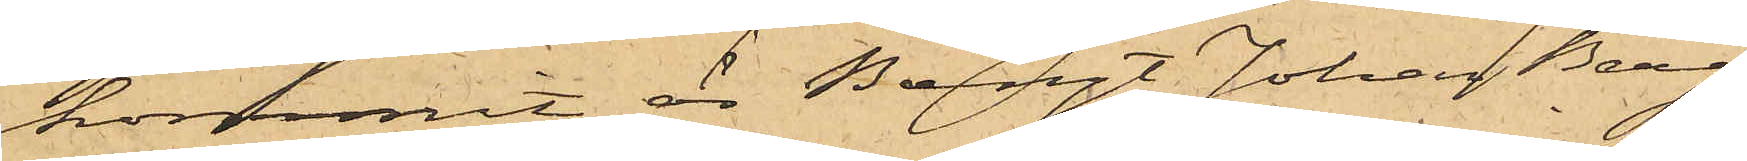kommit, är Bengt Johan Berg¬
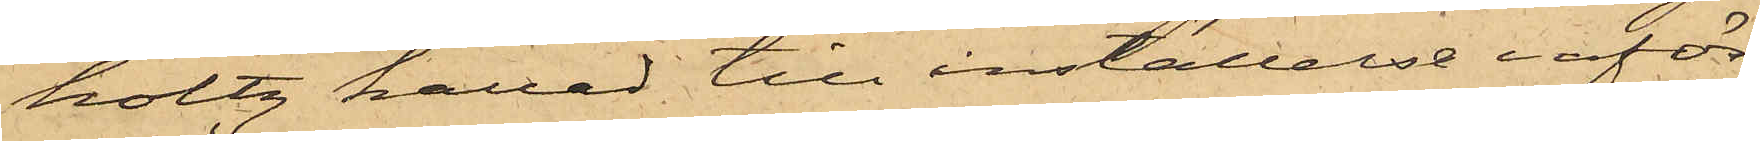holtz kallad till inställelse inför
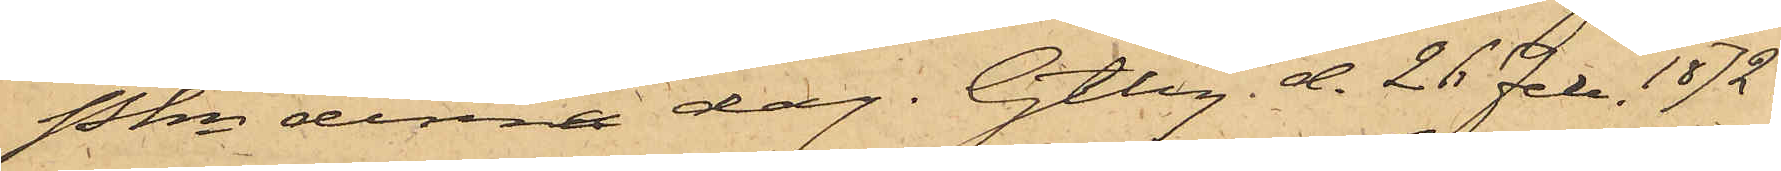Pkn denna dag. Gtbg d. 26 Feb. 1872.
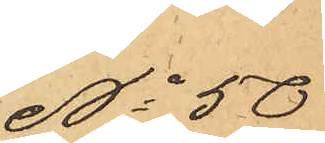No 50
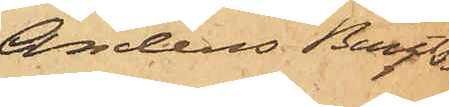Anders Bengts¬
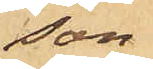son
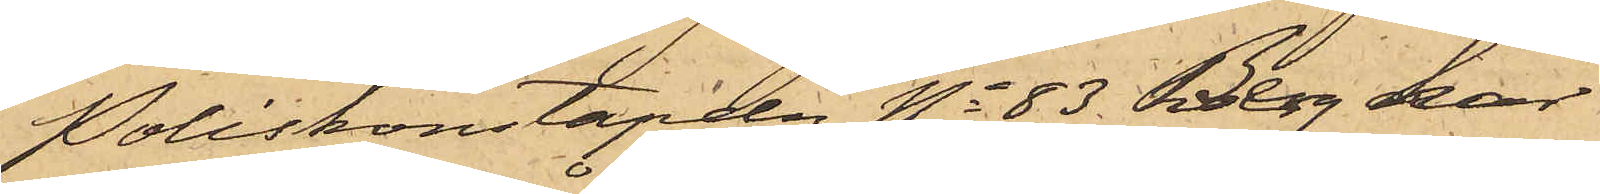Poliskonstapeln No 83 Berg har
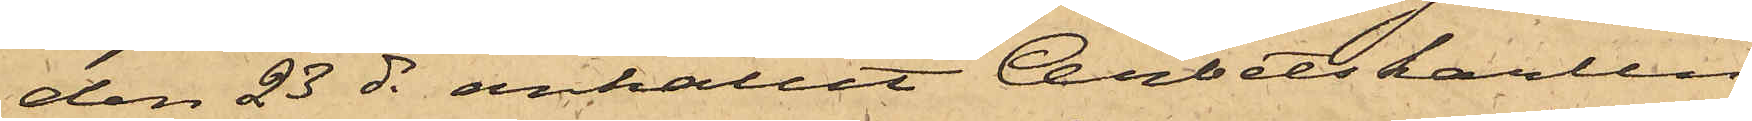den 23 ds anhållit Arbetskarlen
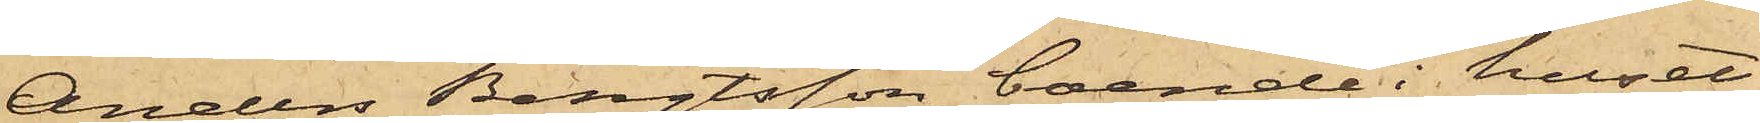Anders Bengtsson, boende i huset
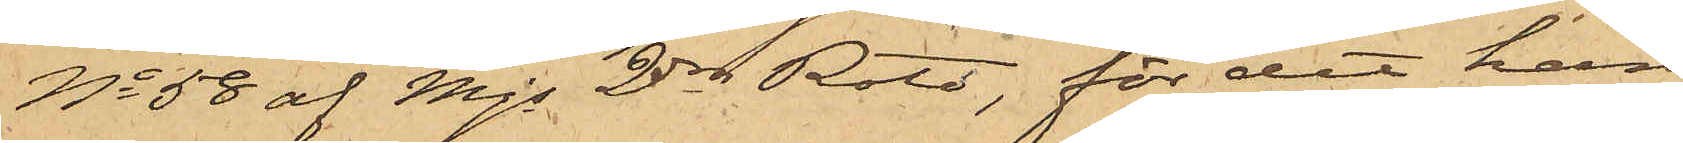No 58 af Mjs 2dra Rote, för det han
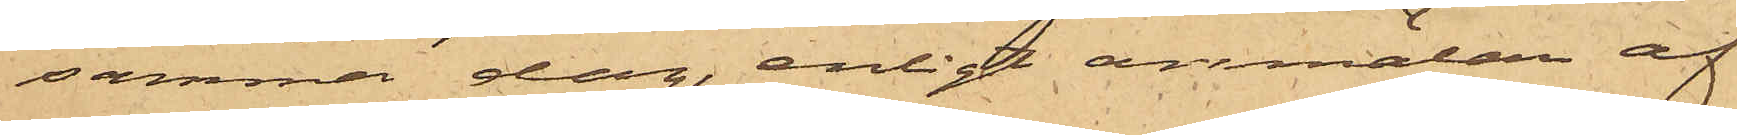samma dag, enligt anmälan af
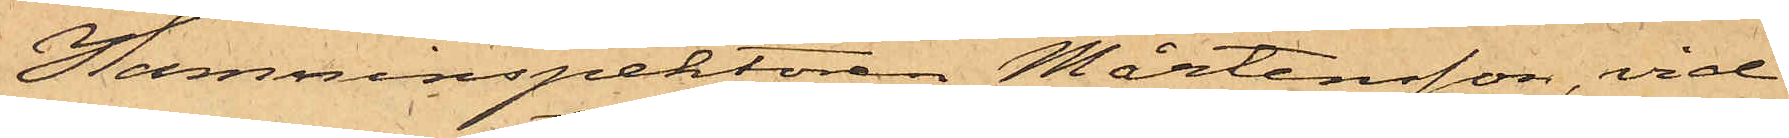Hamninspektoren Mårtensson, vid
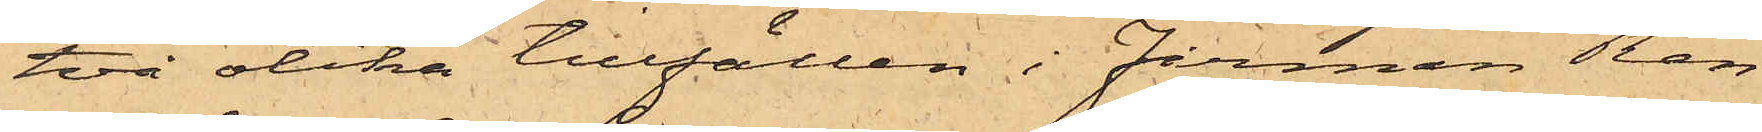två olika tillfällen i Firman Ren¬
